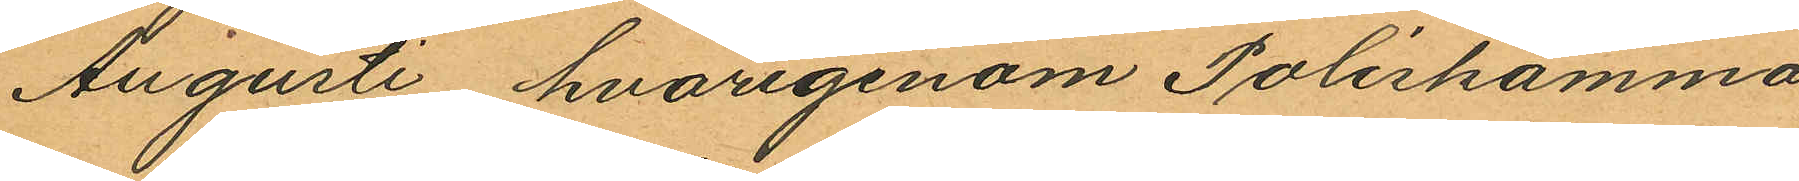Augusti, hvarigenom Poliskamma
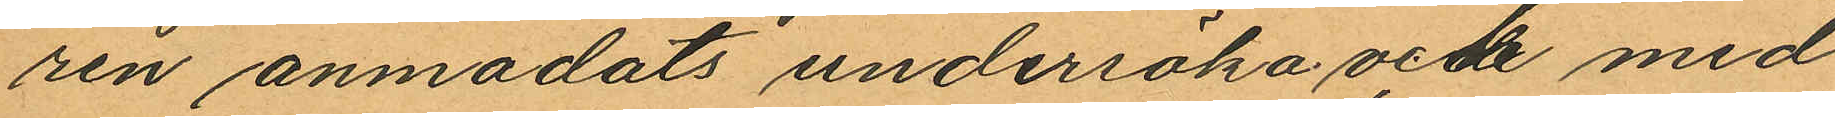ren anmodats undersöka och med
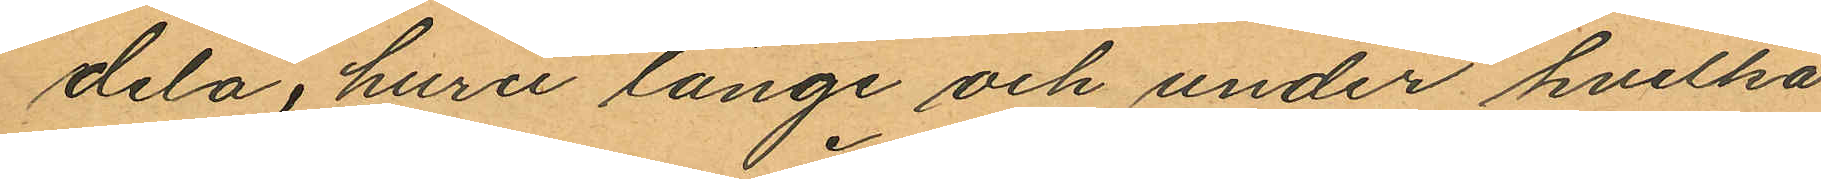dela, huru länge och under hvilka
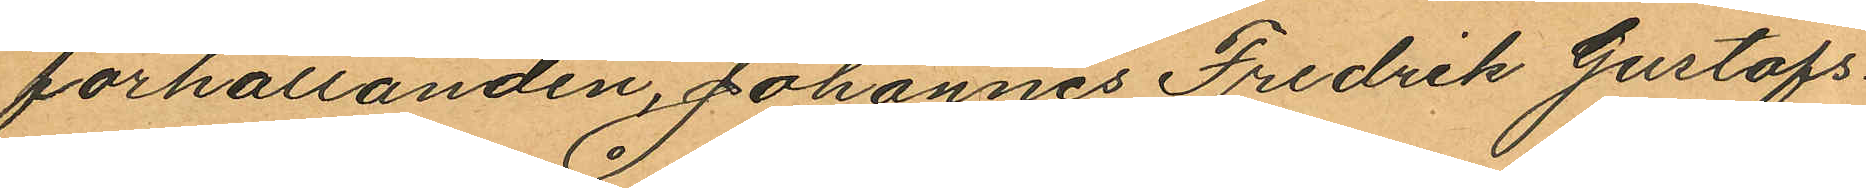förhållanden, Johannes Fredrik Gustafs¬
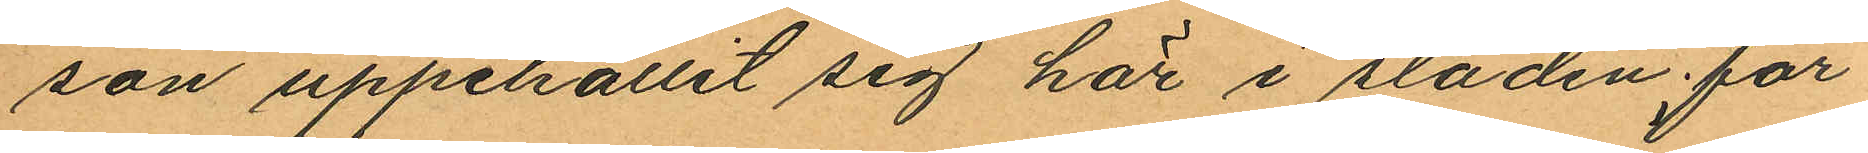son uppehållit sig här i staden får
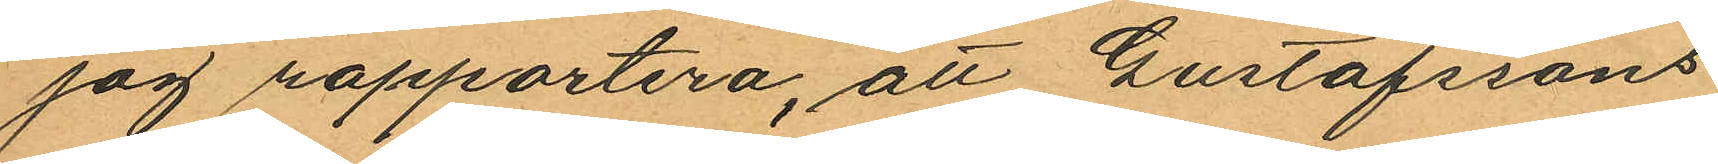jag rapportera, att Gustafssons
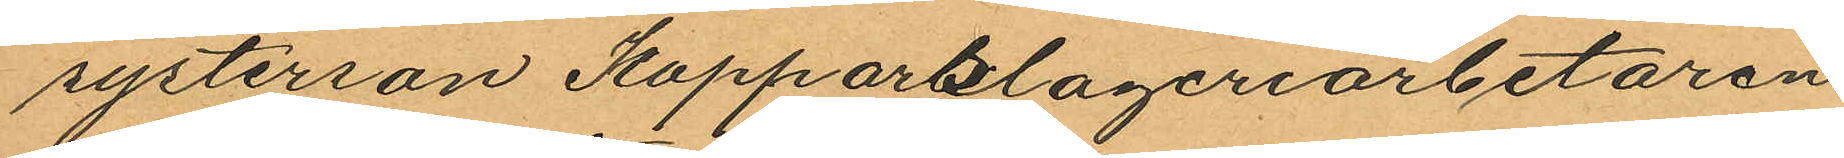systerson Kopparslageriarbetaren
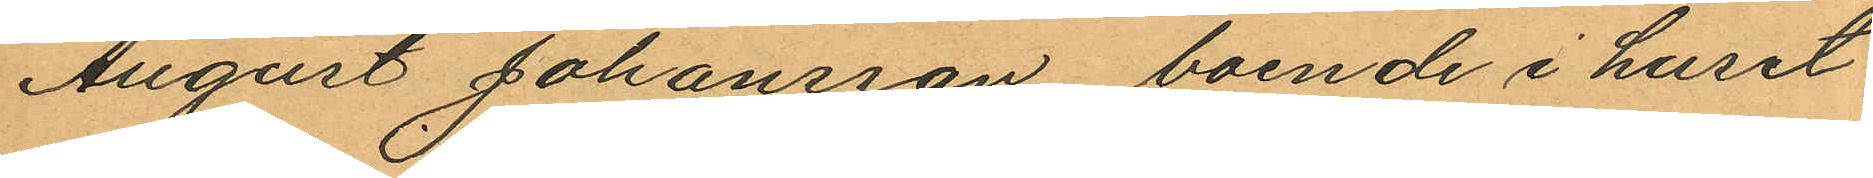August Johansson boende i huset
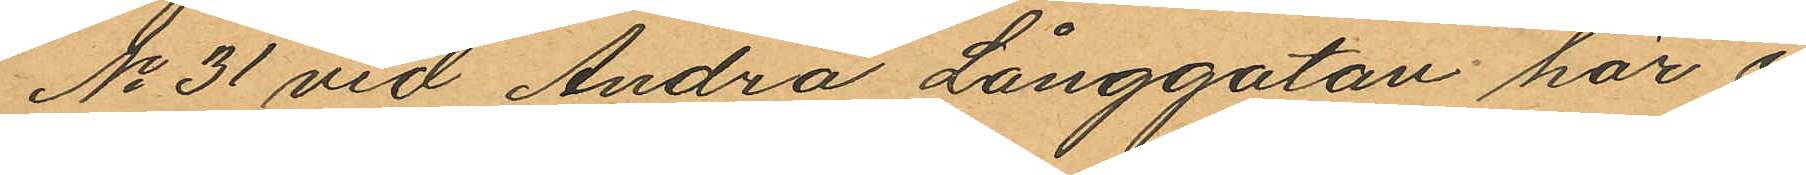No 31 vid Andra Långgatan här i
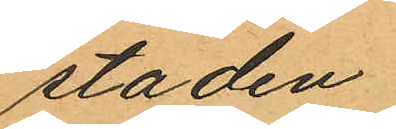staden.
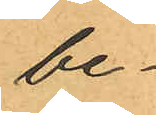be¬
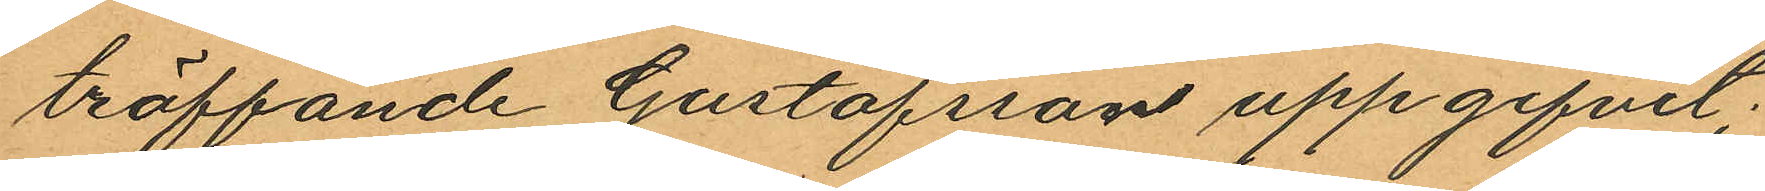träffande Gustafsson uppgifvit;
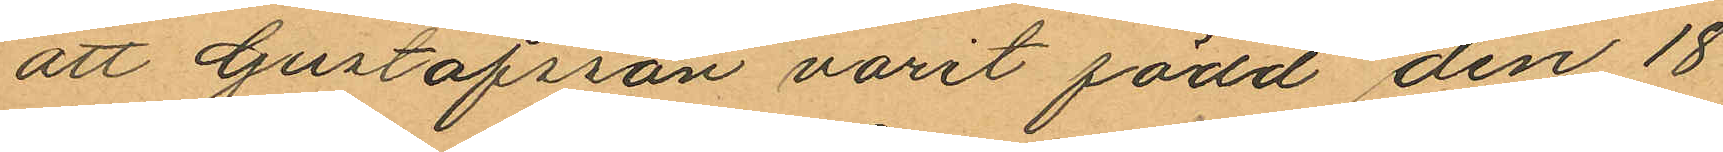att Gustafsson varit född den 18
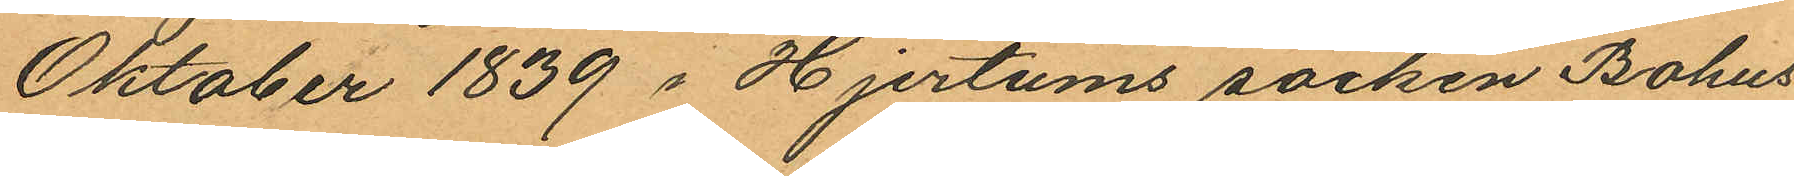Oktober 1839 i Hjertums socken Bohus
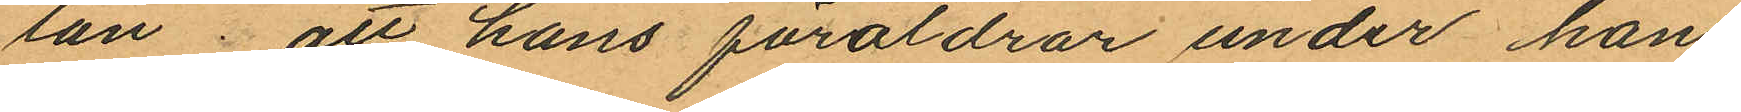län; att hans föräldrar under hans
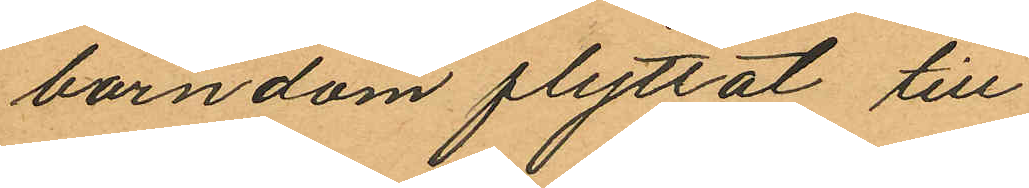barndom flyttat till
